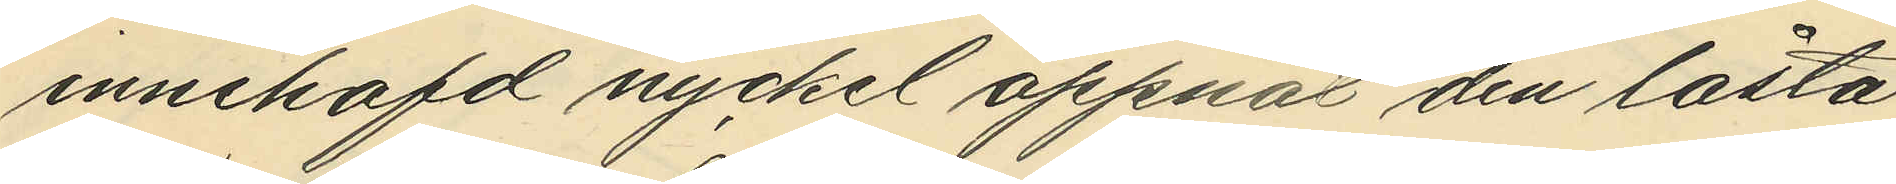innehafd nyckel öppnat den låsta
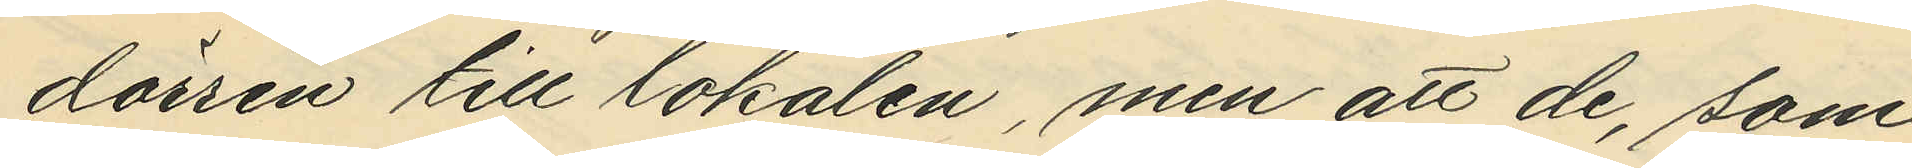dörren till lokalen, men att de, som
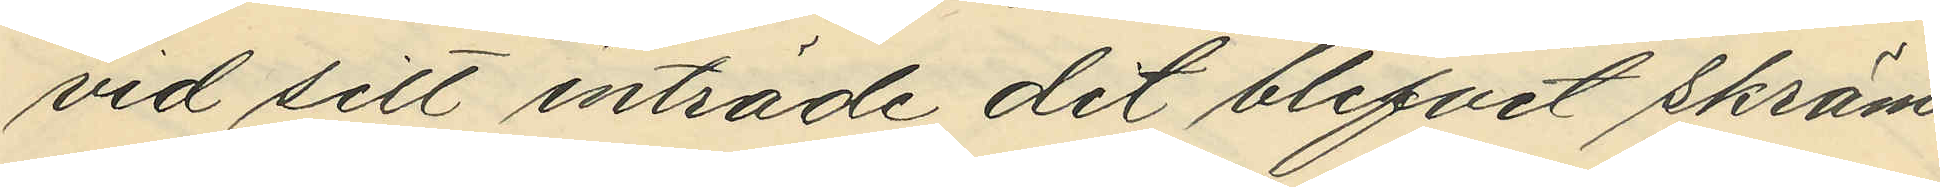vid sitt inträde det blifvit skräm¬
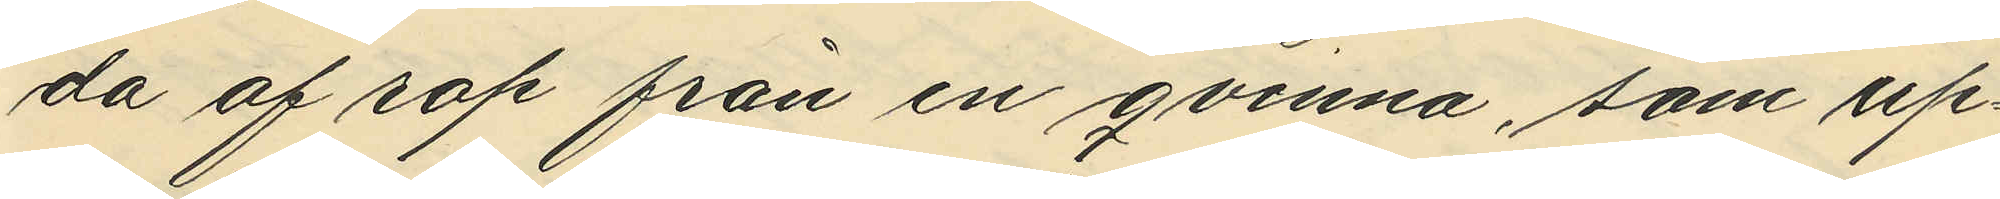da af rop från en qvinna, som up¬
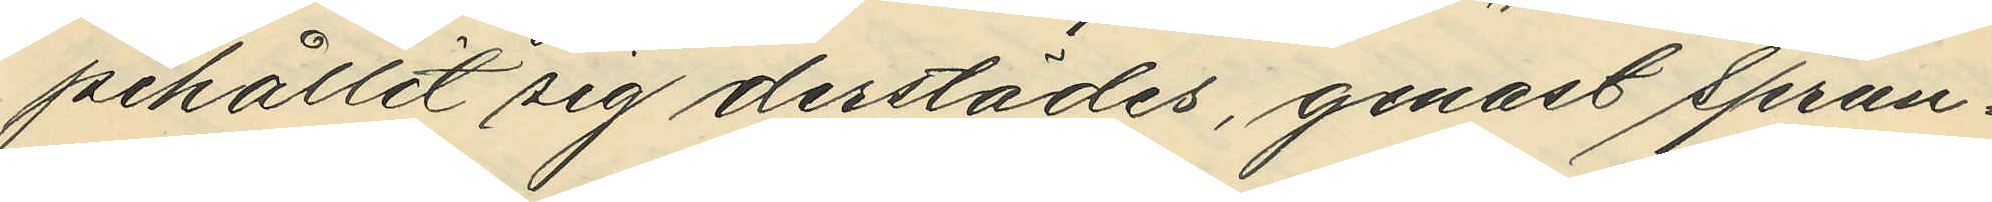pehållit sig derstädes, genast sprun¬
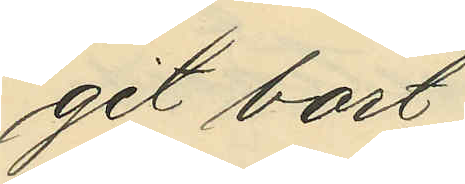git bort;
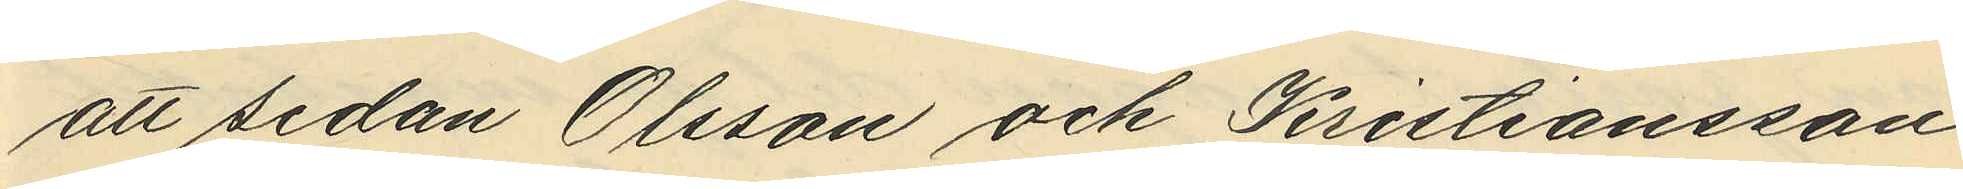att sedan Olsson och Kristiansson
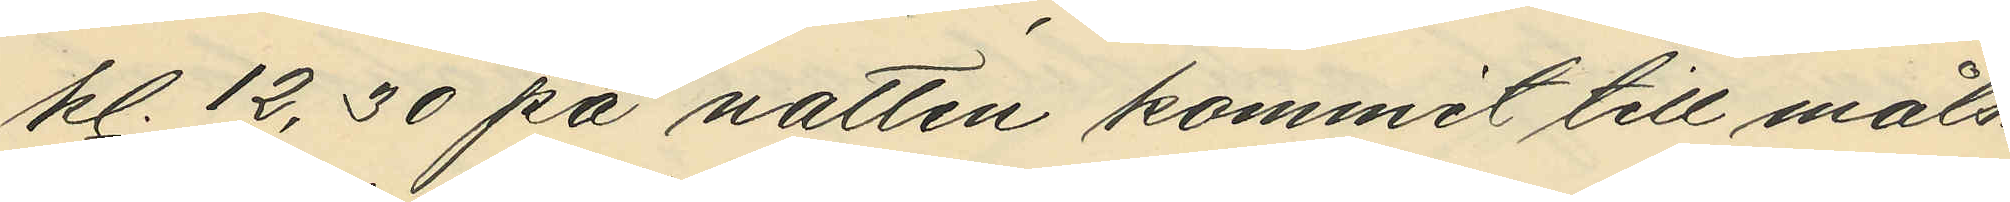kl. 12,30 på natten kommit till måls¬
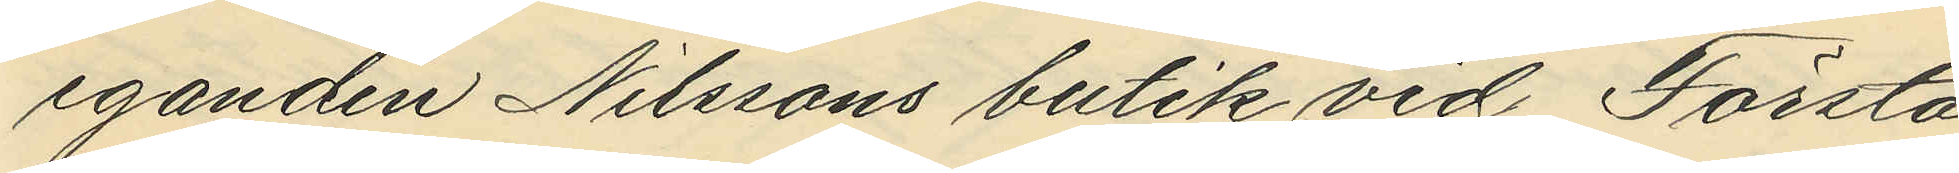eganden Nilssons butik vid Första
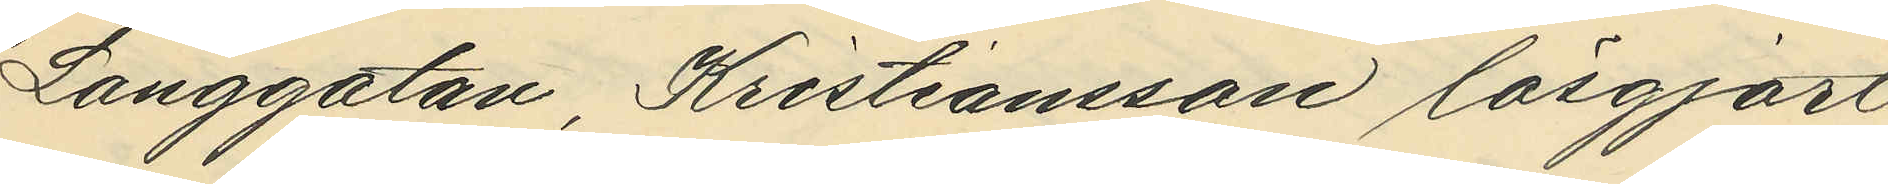Långgatan, Kristiansson lösgjort
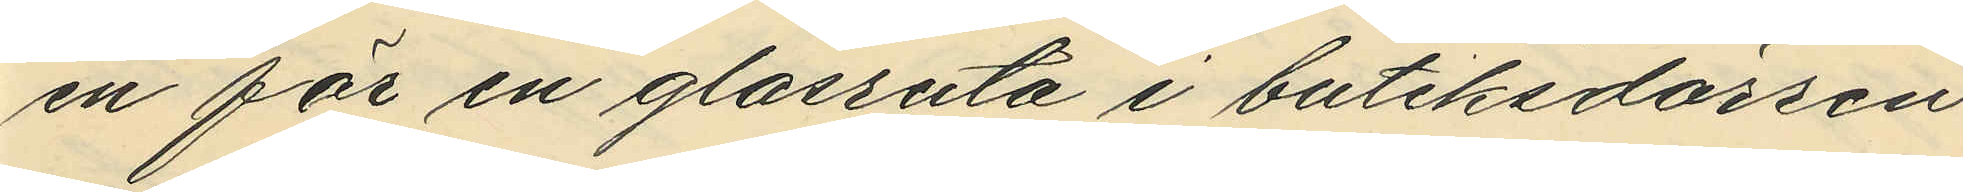en för en glasruta i butiksdörren
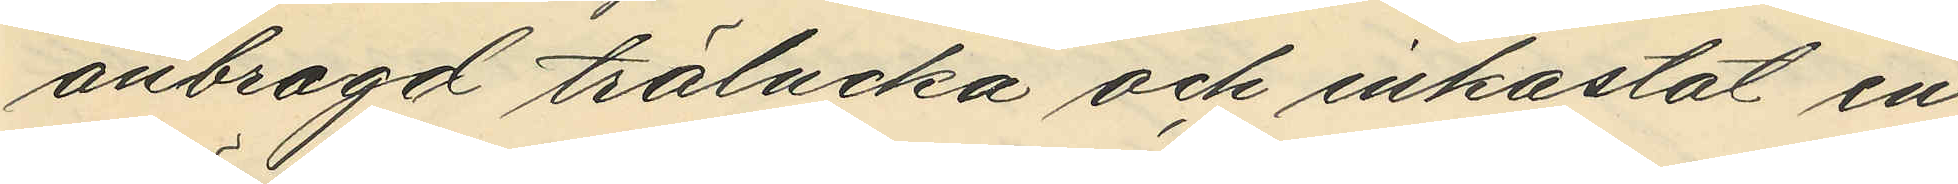anbragd trälucka och inkastat en
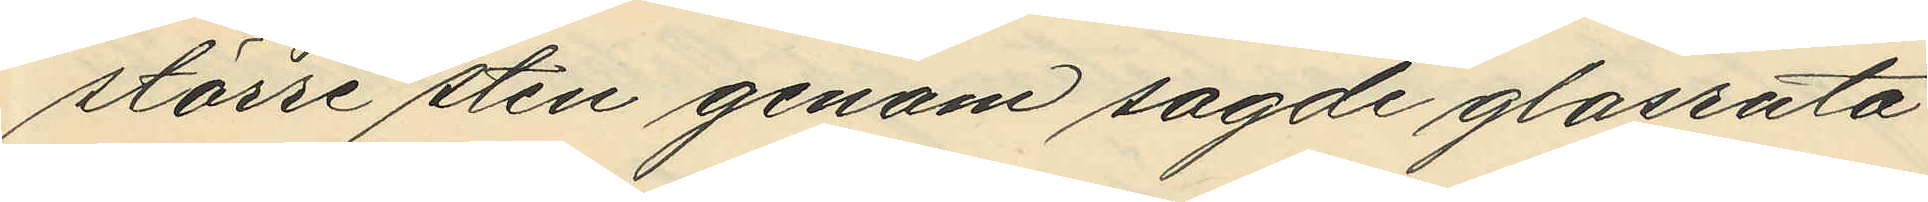större sten genom sagde glasruta
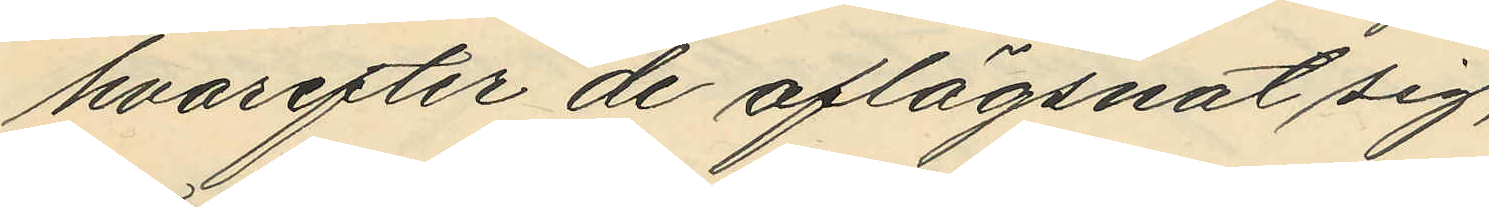hvarefter de aflägsnat sig;
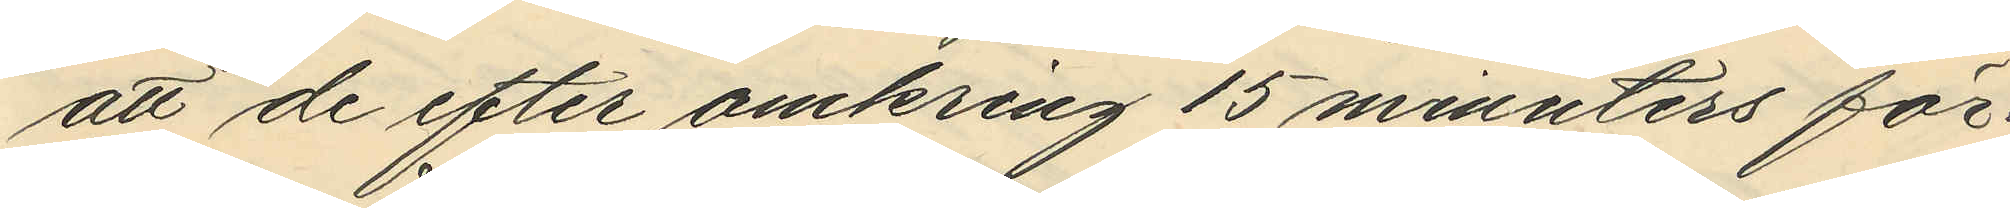att de efter omkring 15 minuters för¬
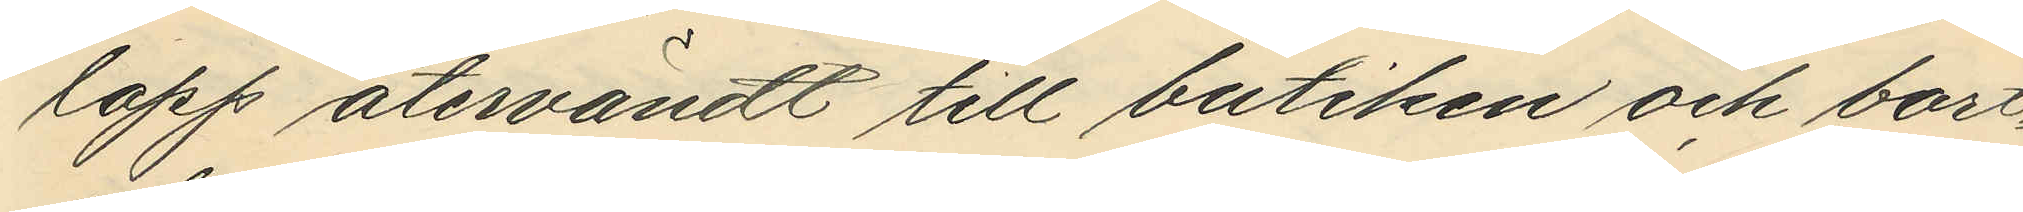lopp återvändt till butiken och bort¬
